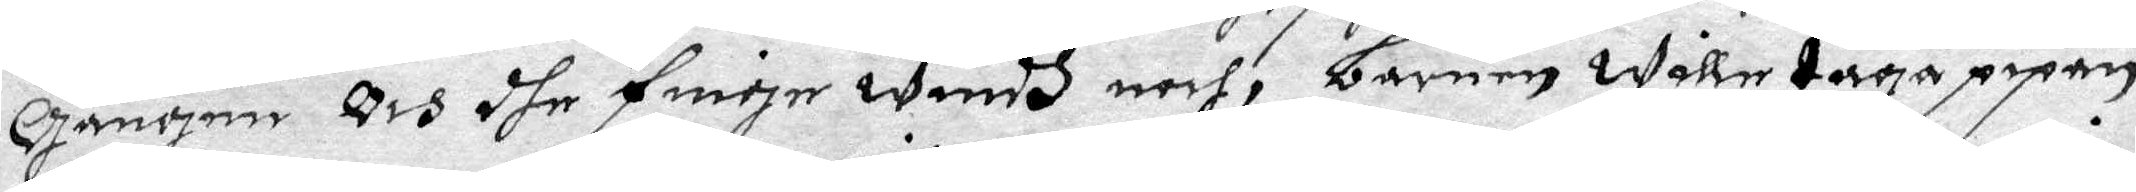Gången Och dhe finge windh noch, barnen wille taga pipen
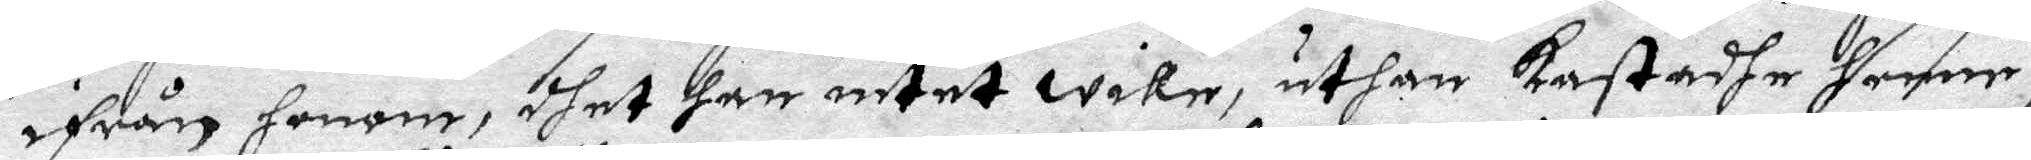ifrån honom, dhet han intet wile, uthan kastadhe henne i
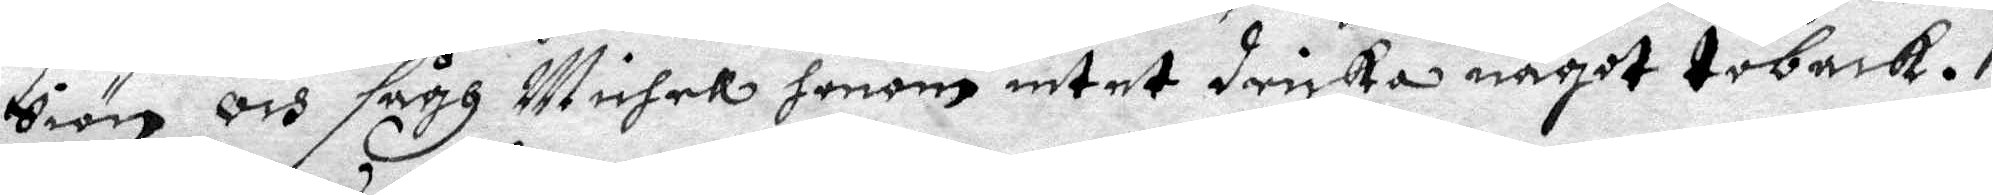Siön och sågh Michel honom intet dricka något toback.
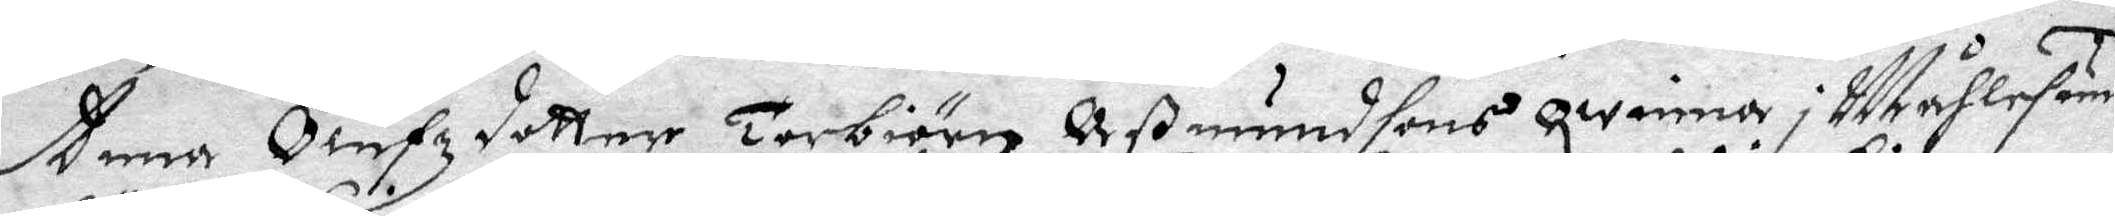Anna Olufzdotter Torbiörn Oß mundsons qwinna i Måhlesund
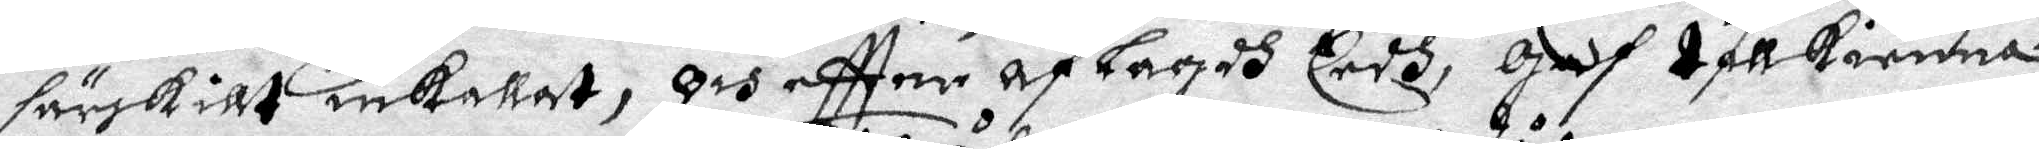särskillt inkallat, och eftter af Lagdh Eedh, Gudh tillkienna
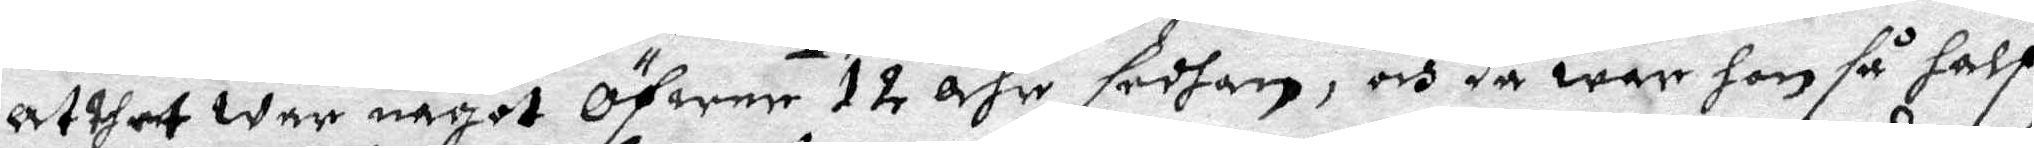at thet war något öfwer 12 åhr sedhan, och då war hon så half
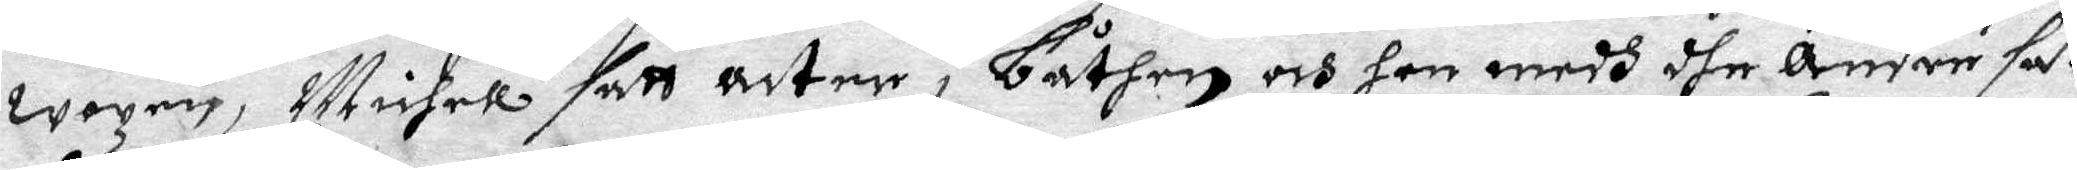wazen, Michel satt acter i Båthen och hon medh dhe andre sat
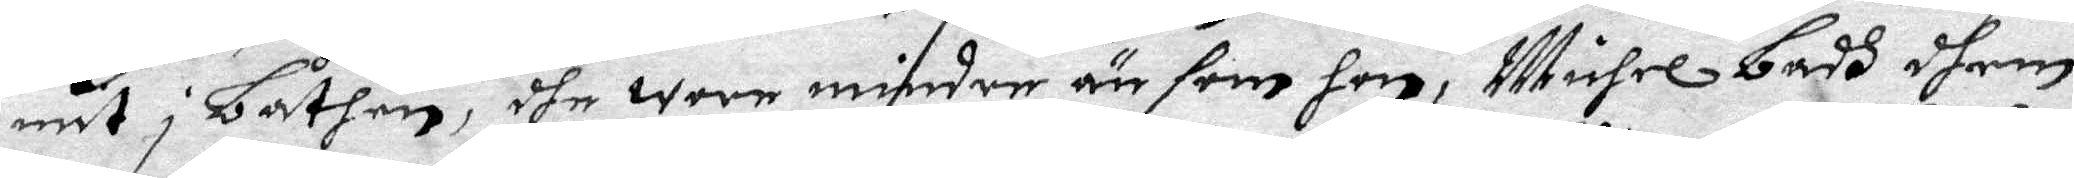mit i Båthen, dhe wore mindre än fem hon, Michel badh dhem
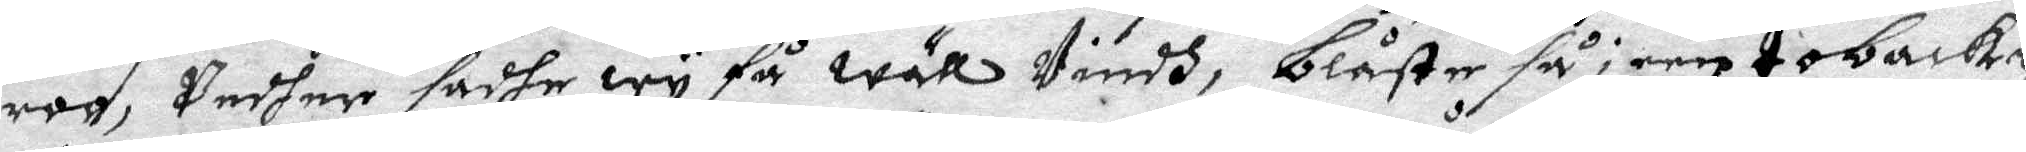roo, Pndher sadhe wy få wäll Windh, blåste så i een tobackz¬
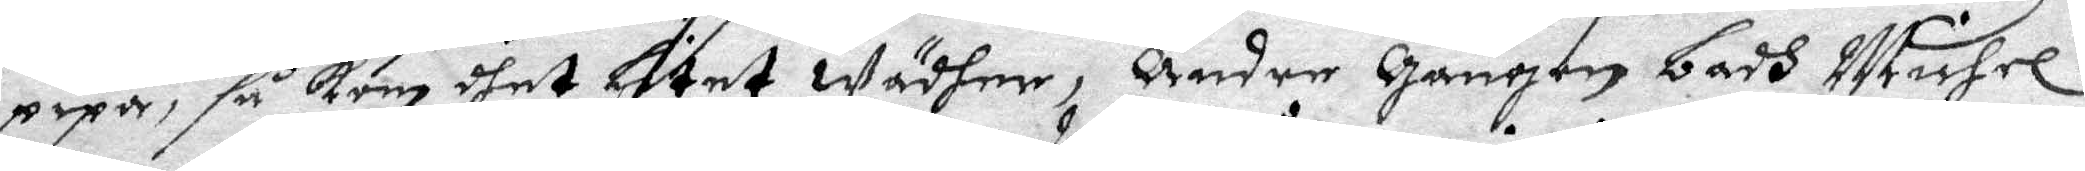pipa, så kom dhet litet wädher, Ander Gången badh Michel
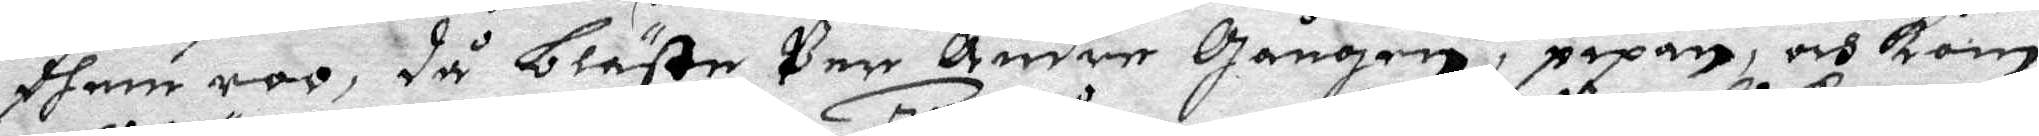dhem roo, då blåste Per Andre Gången i pipan, och Kom
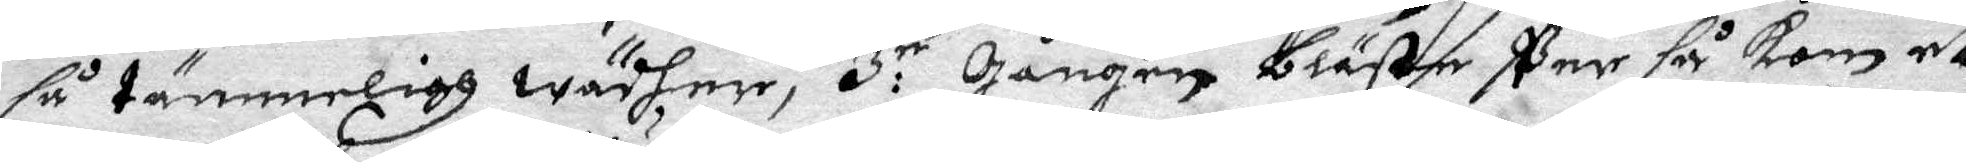så tämmeligh wädher, 3:ie Gånogen bläste Par så kom et
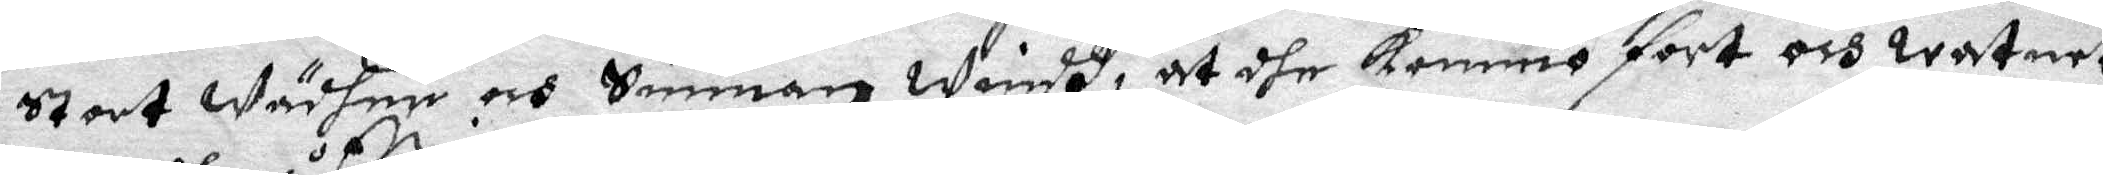Stort Wädher och Sönnan windh, at dhe kommo fort och watnet
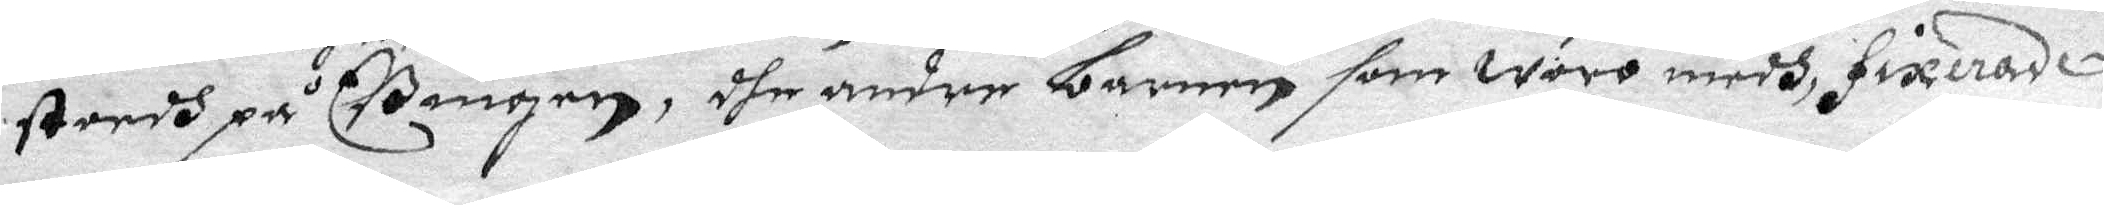stordh på Bingen, dhe andre barnen som woro medh, fixerade
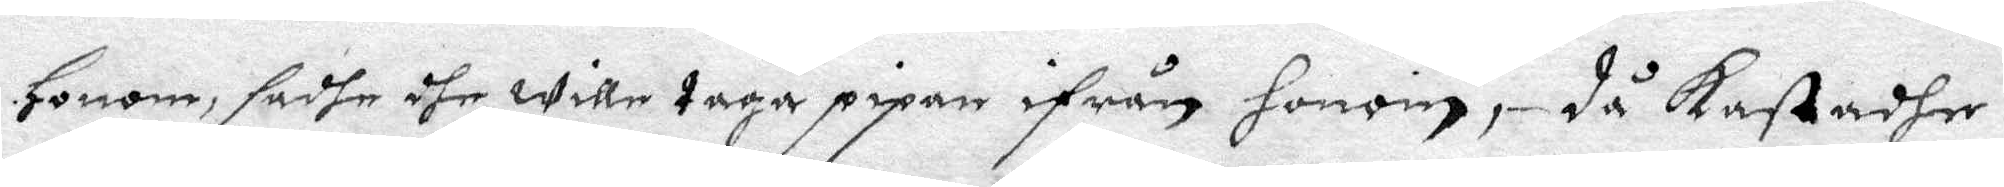Honom, sadhe dhet wille taga pipan ifrån honom, då kastadhe
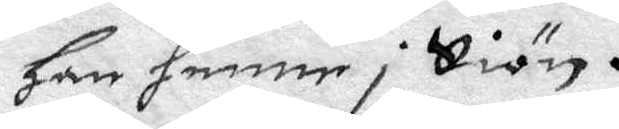han henne i Siön.
